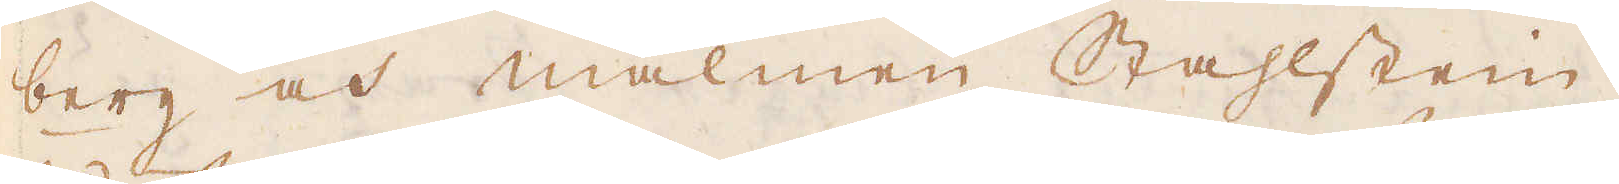berg och malmen Stahlstein.
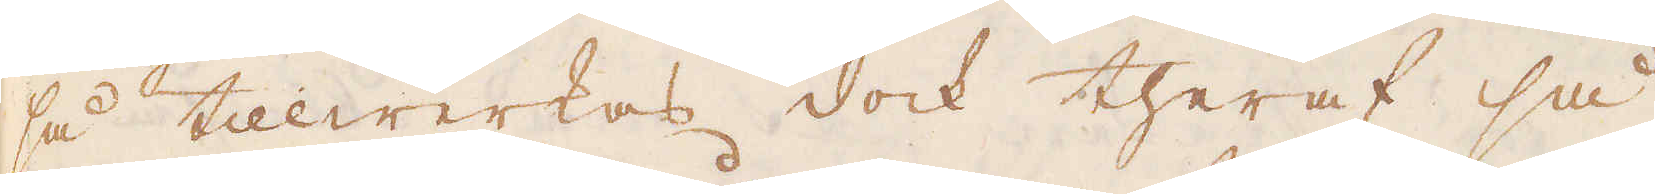så tillwerkas dock theraf så
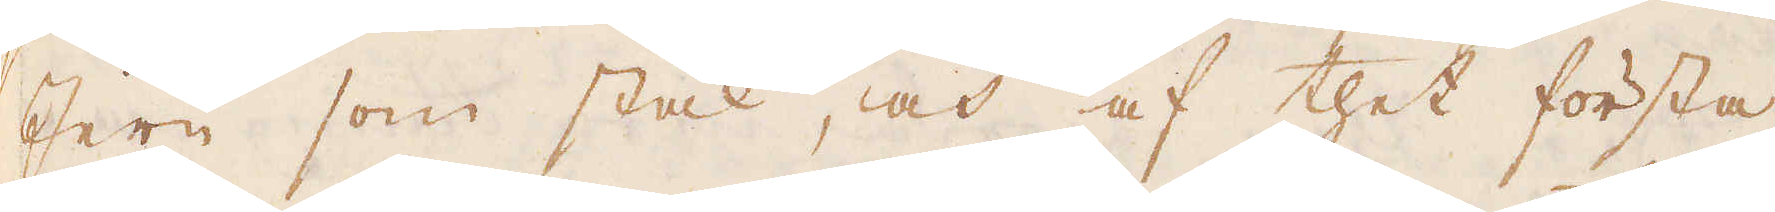Jern som stål, och af thet första
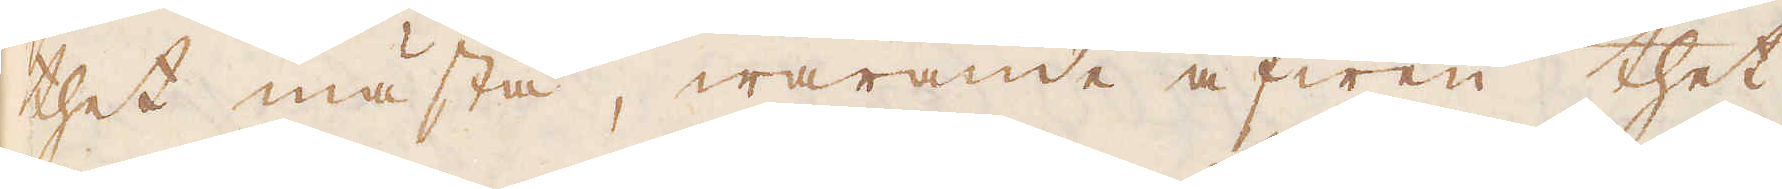thet mästa, warande äfwen thet
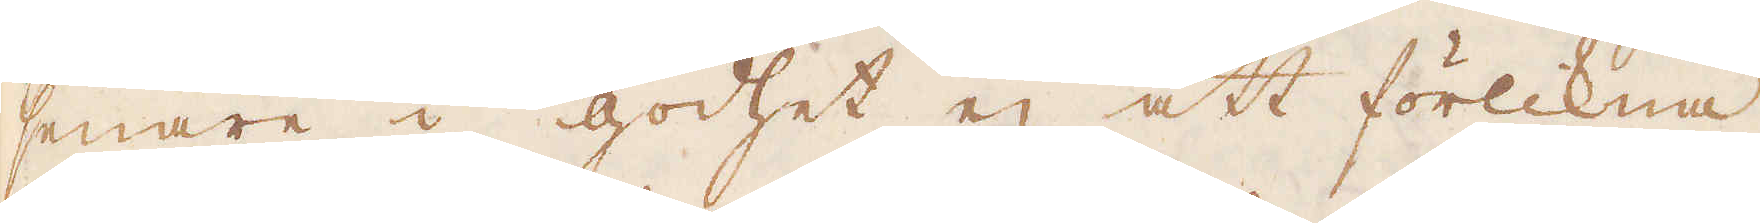senare i godhet ej att förlikna
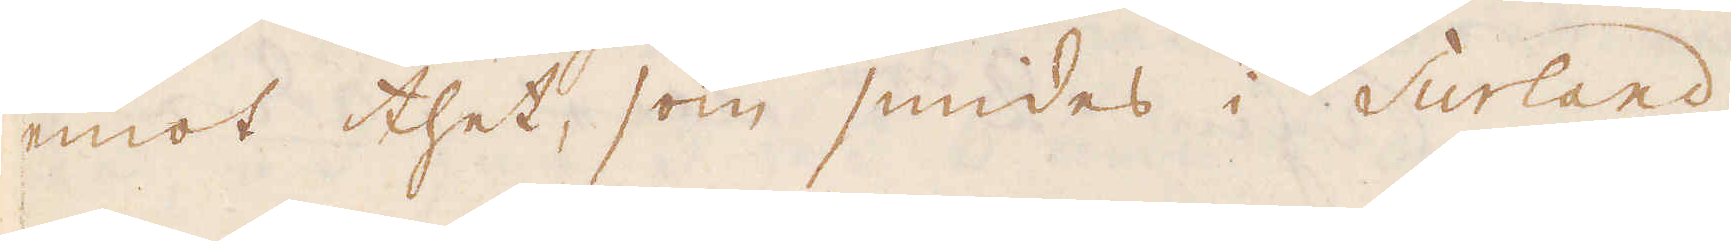emot thet, som smides i Surland,
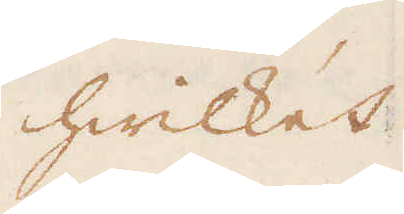hwilket
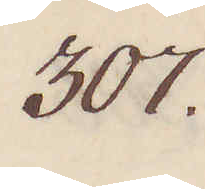307.
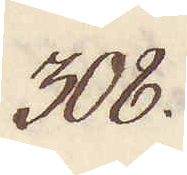308.
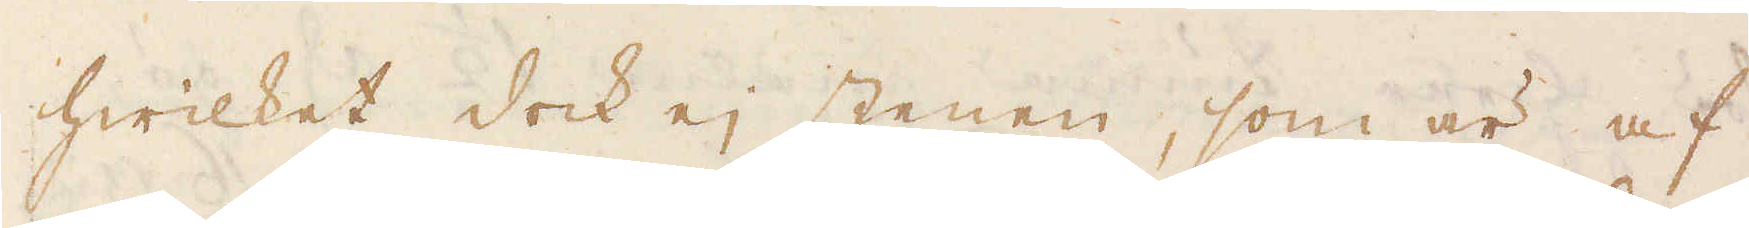hwilket dock ej stenen, som är af
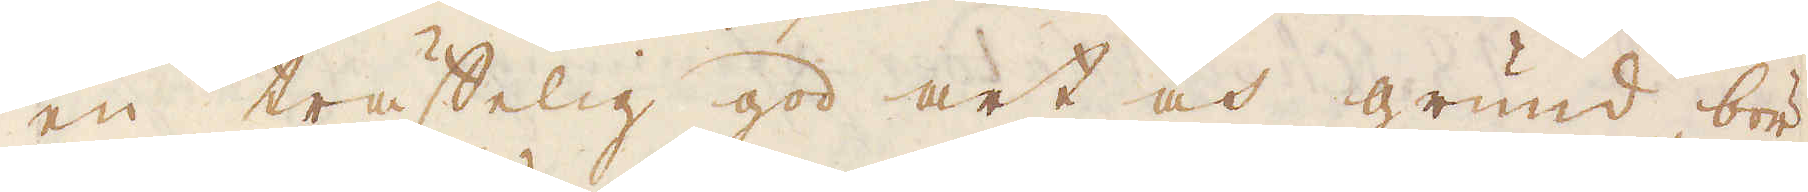en träffelig god art och grund bör
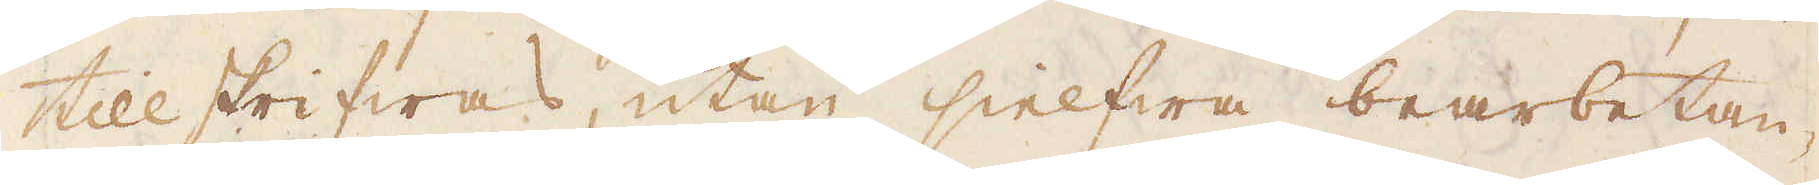tillskrifwas, utan sielfwa bearbetan-
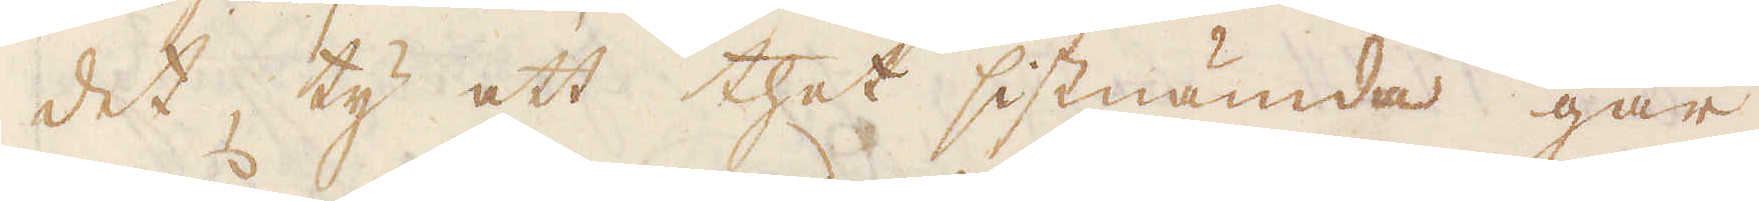det, ty att thet sistnämde går
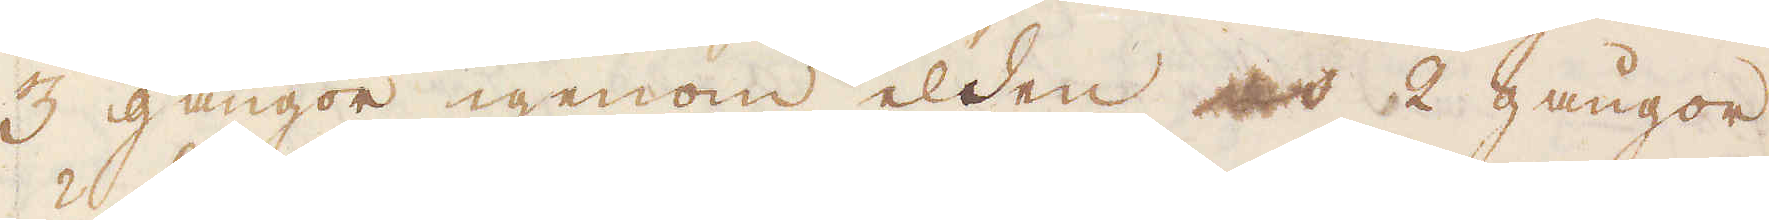3 gångor igenom elden och 2 gångor
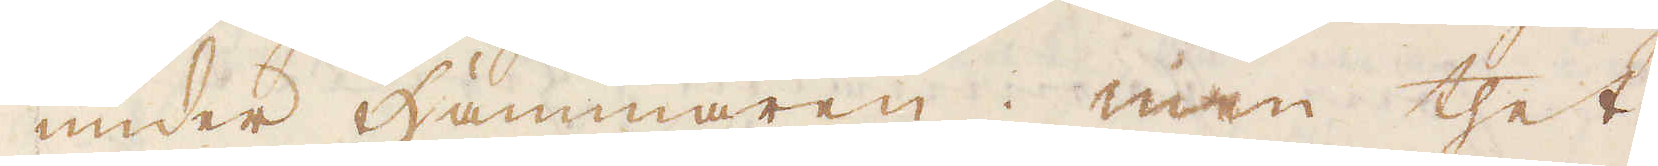under Hammaren; men thet
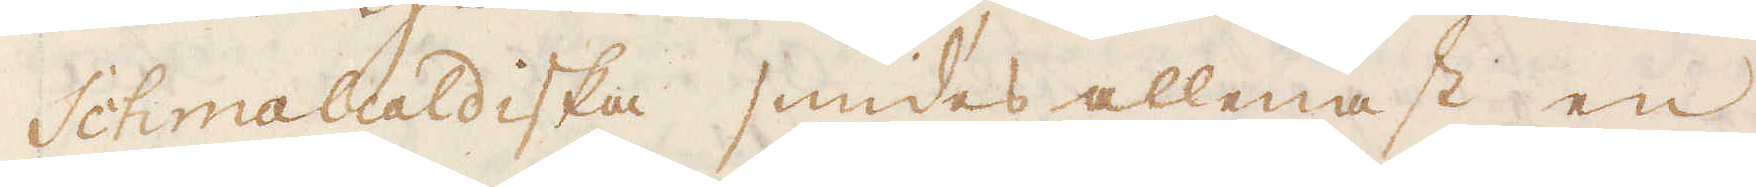Schmalcaldiska smides allenast en
